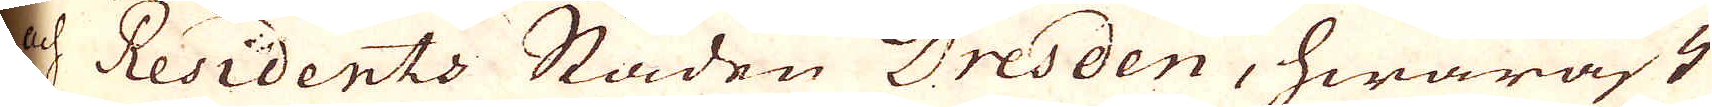Residents Staden Dresden, hwaräst
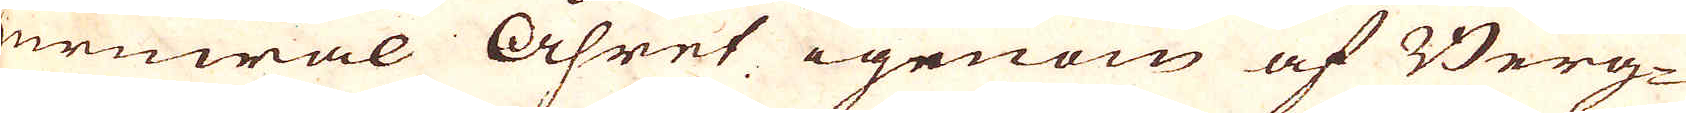ehuruwäl Åhret igenom af Berg-
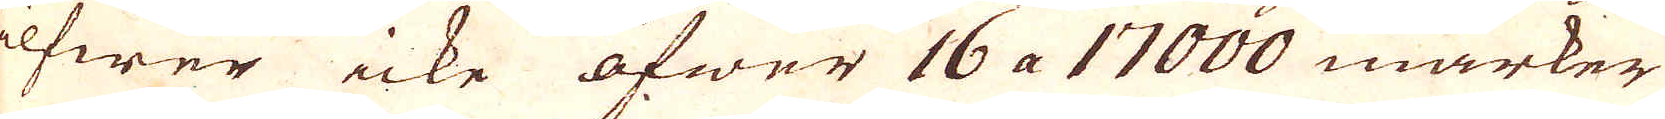Silfwer icke öfwer 16 a 17000 marker
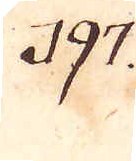197.
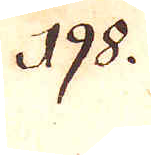198.
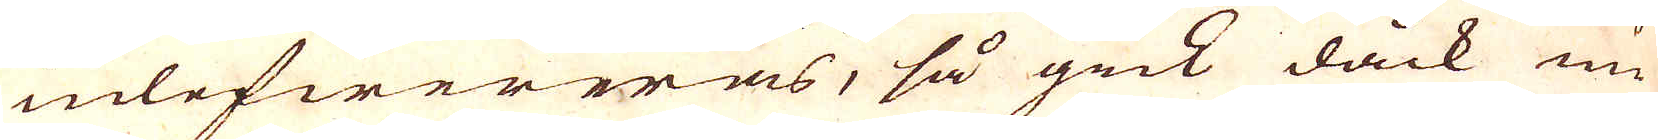inlefwereras, så gick dåck nu
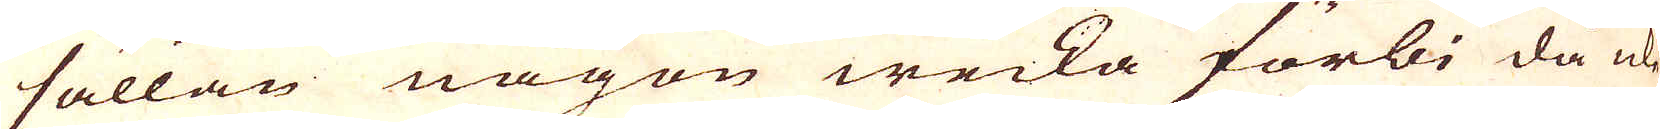sällan någon wecka förbi då icke
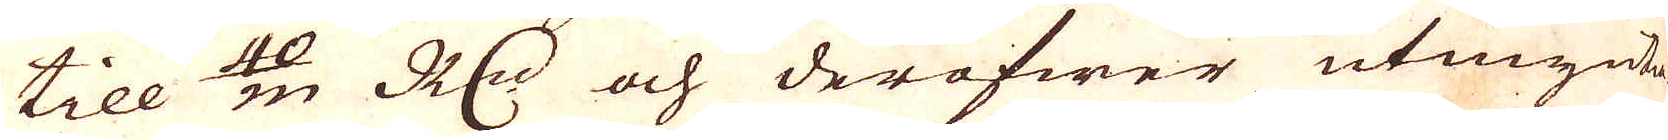till in 40/m R:dr och deröfwer utmynta-
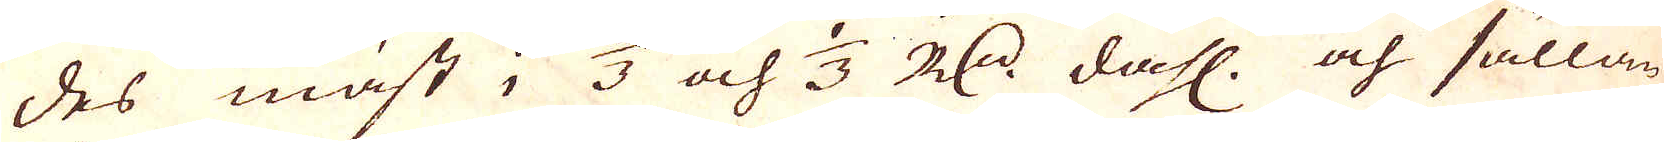des mäst i 2/3 och 1/3 R:dr dahl. och sällan
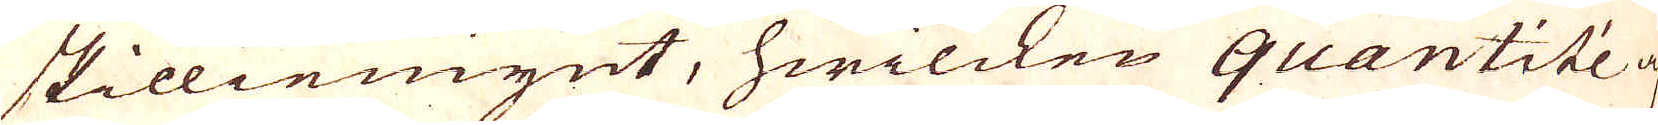skilliemynt, hwilcken quantité af
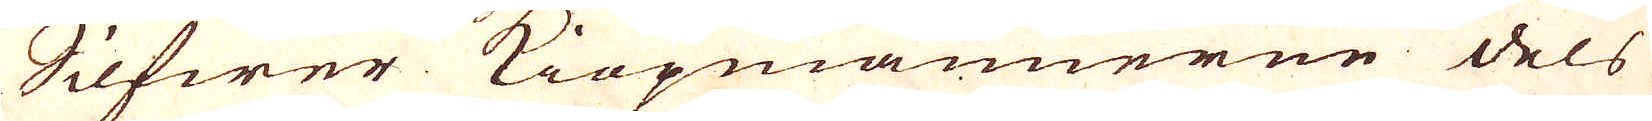Silfwer Kiöpmannerne dels i
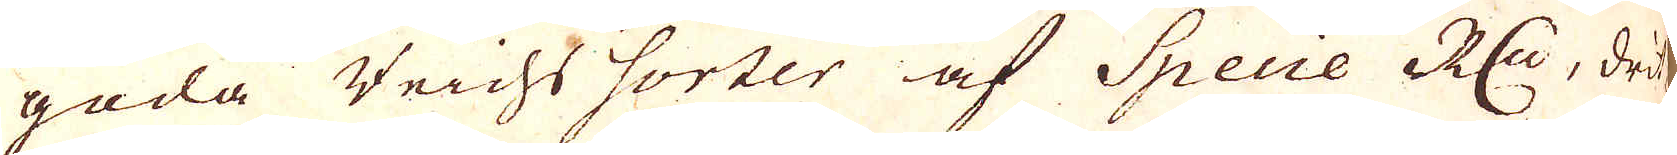goda Veichs sorter af Specie R:dr, drit-
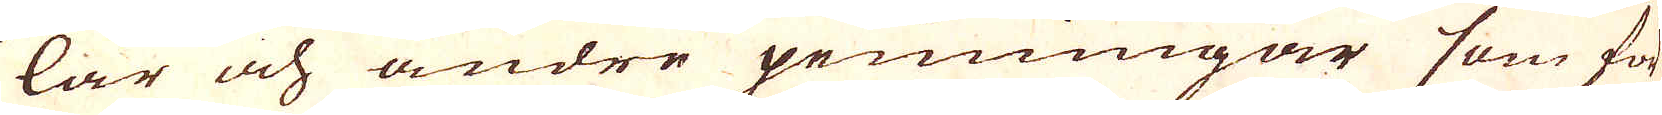lar och andre penningar som för
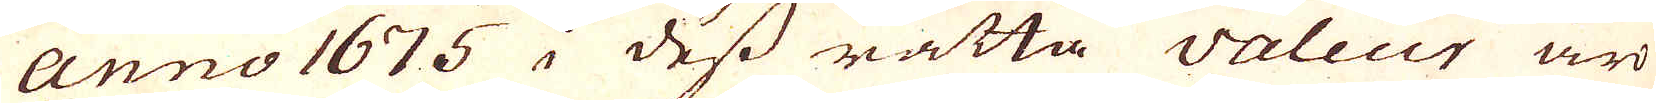Anno 1675 i dess rätta valeur äro
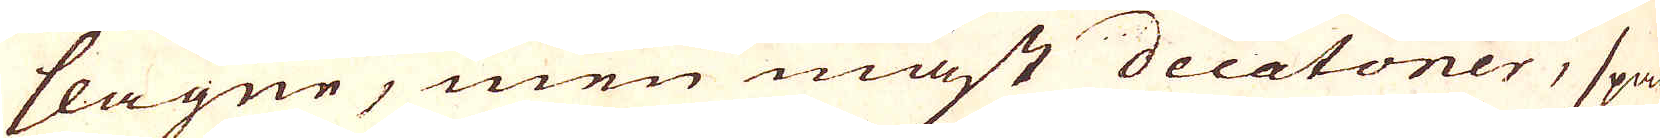slagne, men mäst decatoner, span-
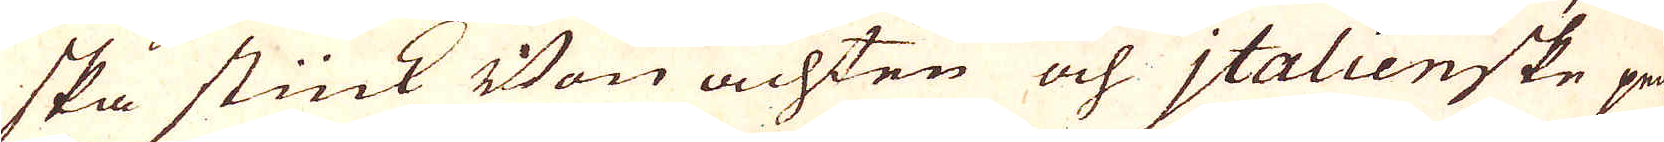ska stück Von achten och jtalienske pen-
